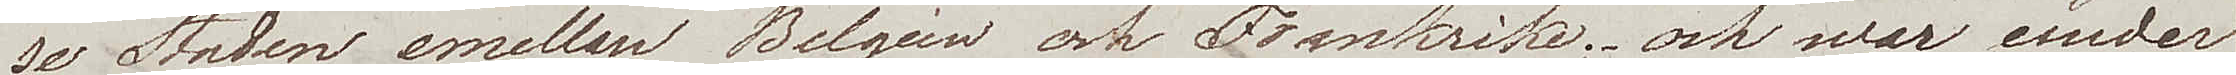se Staden emellan Belgien och Frankrike och war under
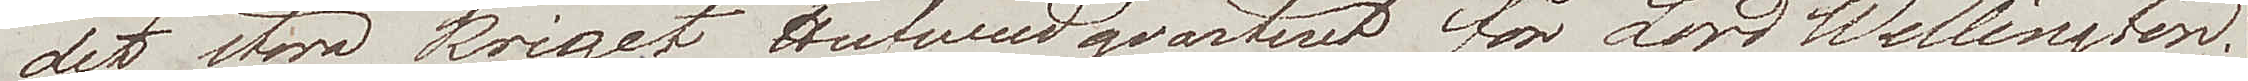det stora kriget Hufwudqvarteret för Lord Wellington.
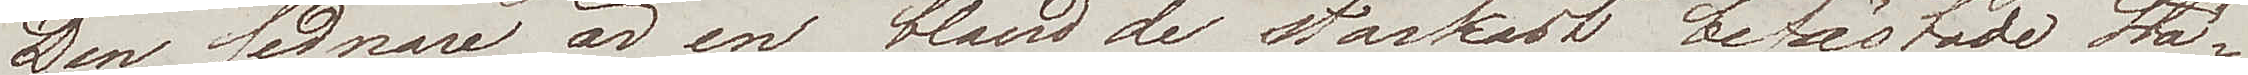Den sednare är en bland de starkast befästade Stä¬
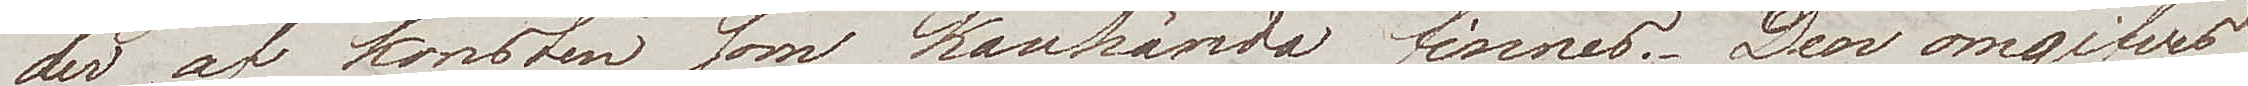der af konsten som kanhända finnes. Den omgifves
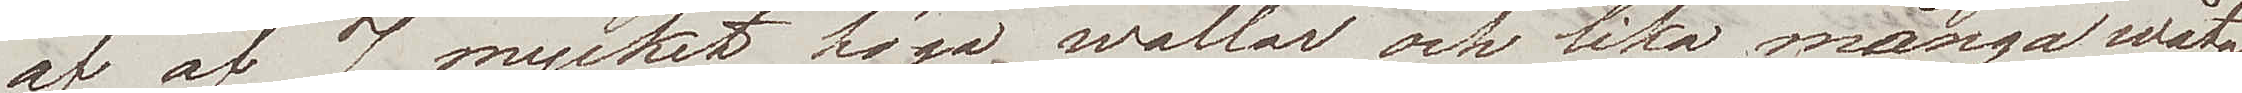af af 7 mycket höga wallar och lika många wåt¬
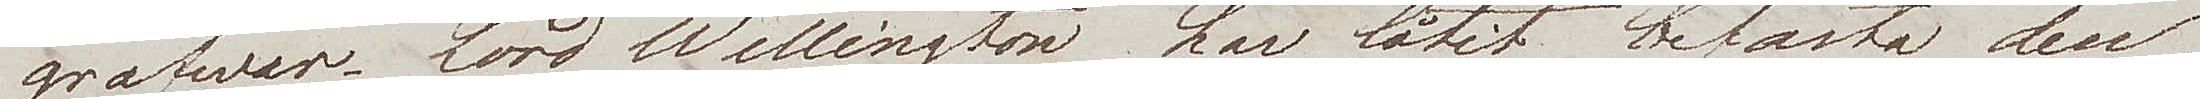grafwar. Lord Wellington har låtit befästa den
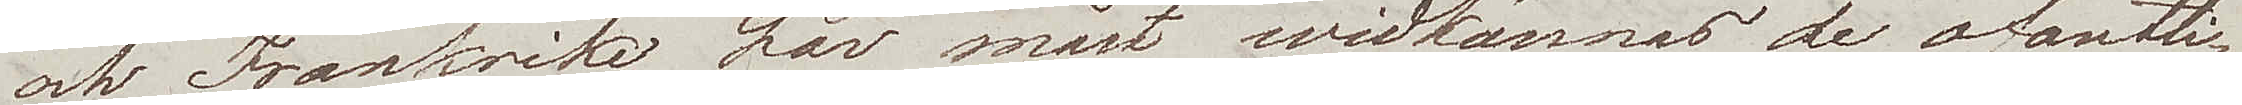och Frankrike har måst widkännas de ofantli¬
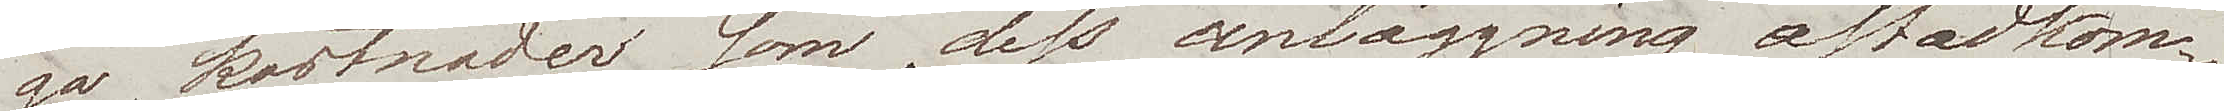ga kostnader som dess anläggning åstadkom¬
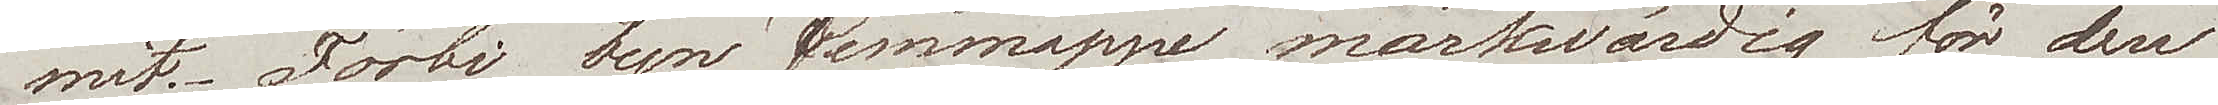mit. Förbi byn Jemmappe märkwärdig för den
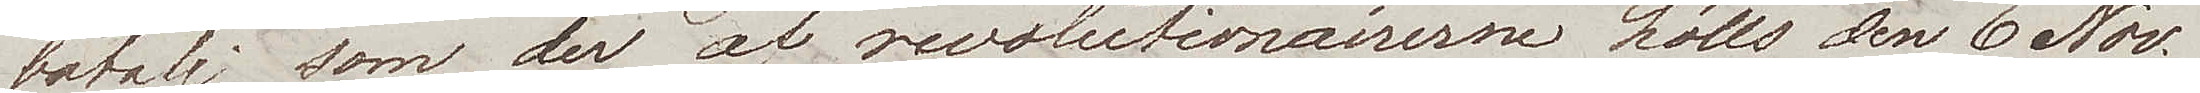batalj som der af revolutionairerne hölls den 6 Nov.
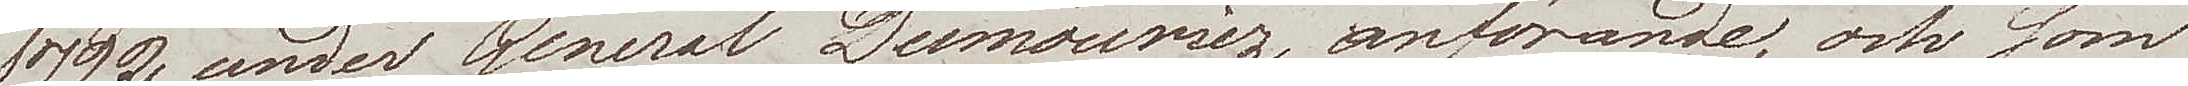1792 under General Dumouriez anförande, och som
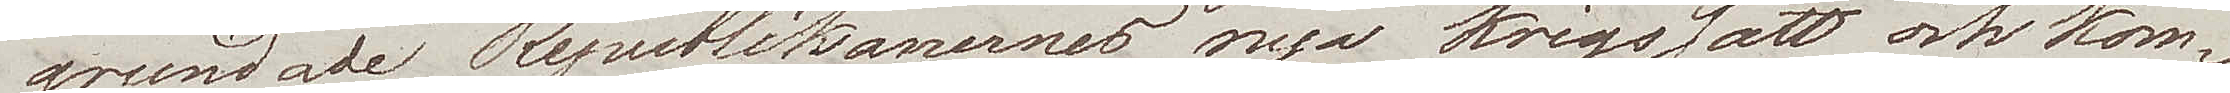grundade Republikanernes nya krigssätt och kom¬
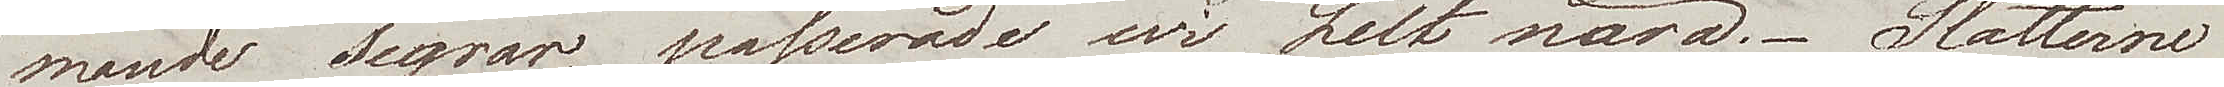mande segrar, passerade wi helt nära. Slätterne
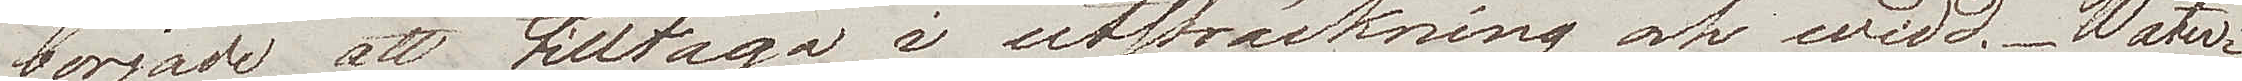började att tilltaga i utsträckning och widd. Water¬
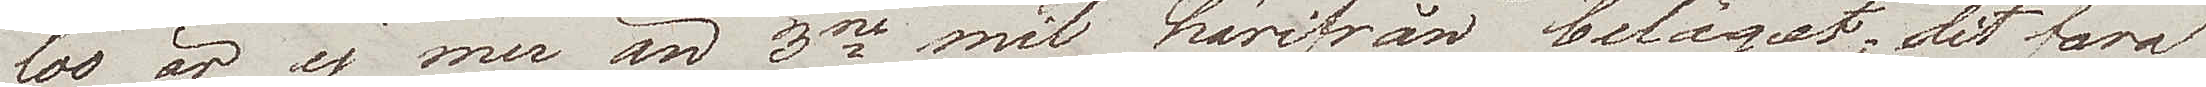loo är ej mer än 3ne mil härifrån beläget, dit fara
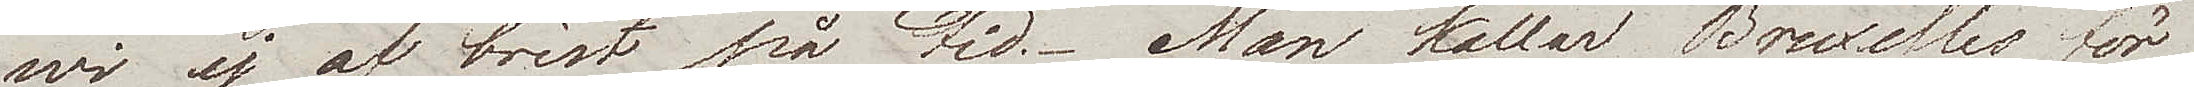wi ej af brist på tid. Man kallar Bruxelles för
